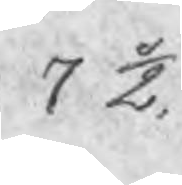7 ½.
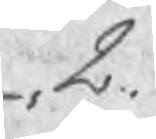2.
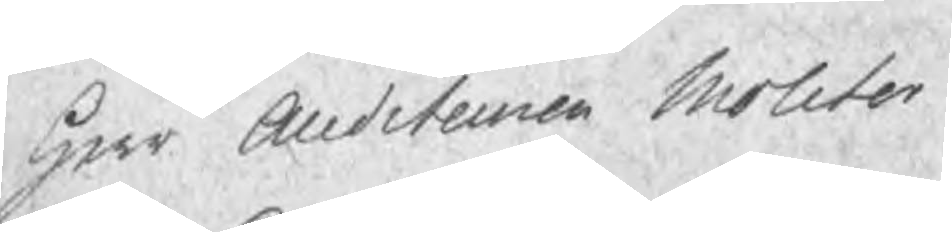Herr Auditeuren Molitor
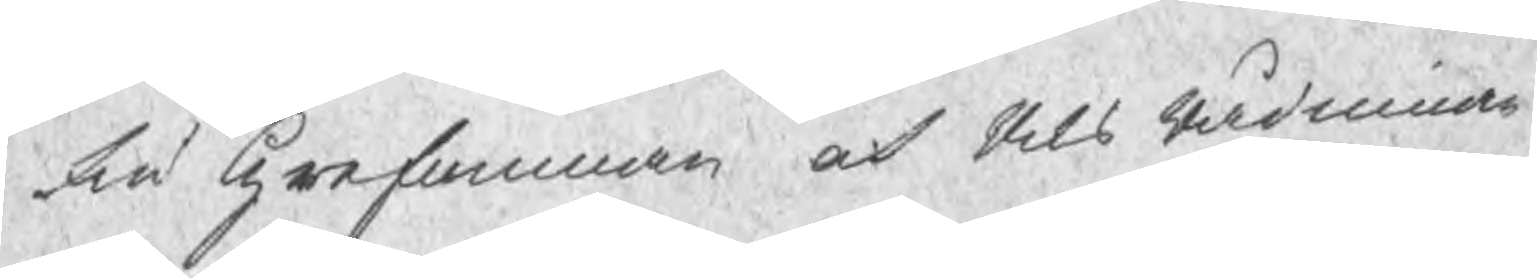Fru Grefuinnan och Riks Rådinnan
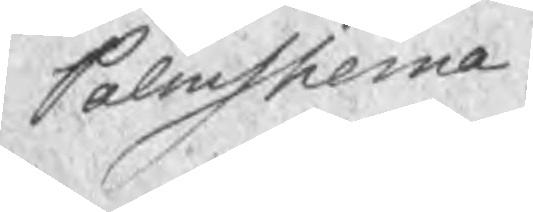Palmstierna
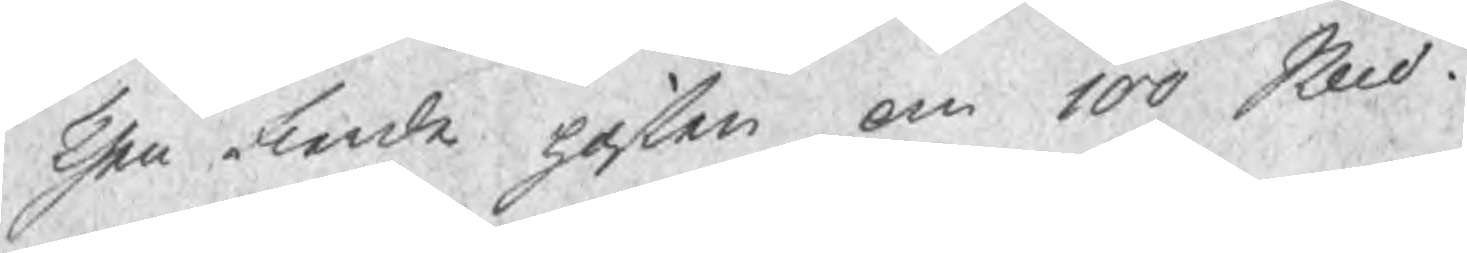Then fierde posten om 100 Sknd .
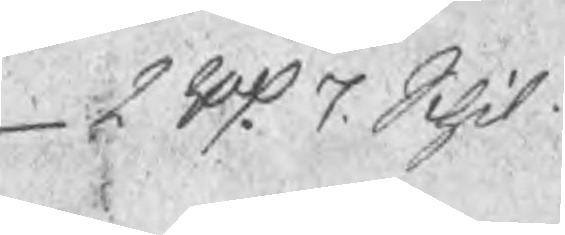2 Rd. 7. Schil.
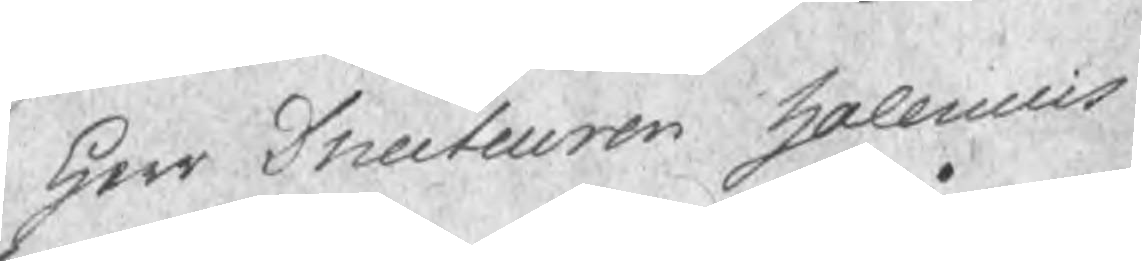Herr Directeuren Halenius
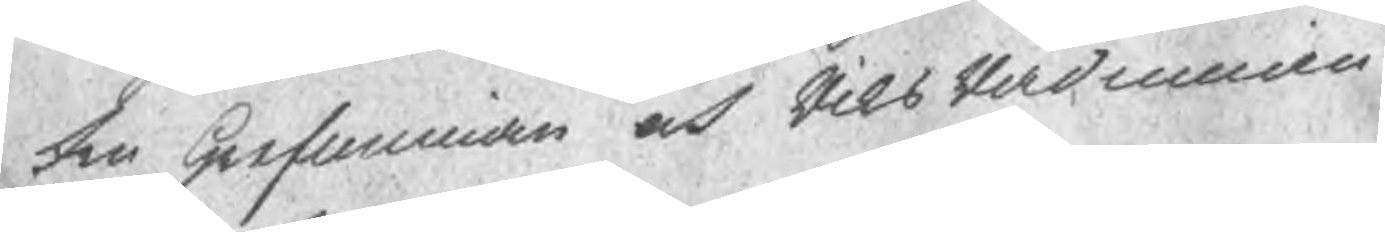Fru Grefuinnan och RiksRådinnan
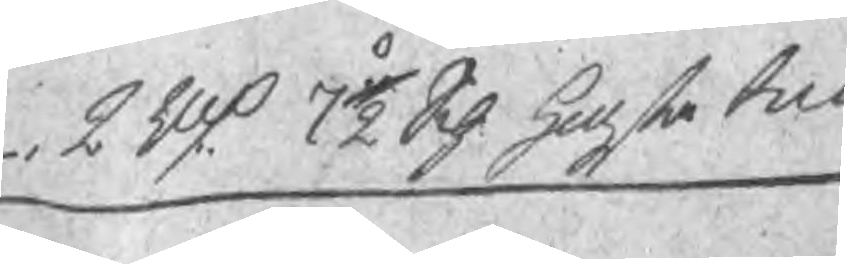2 Rd 7½ Sch. Hogsta bud
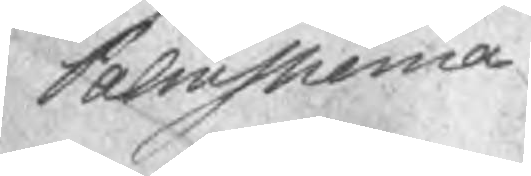Palmstierna
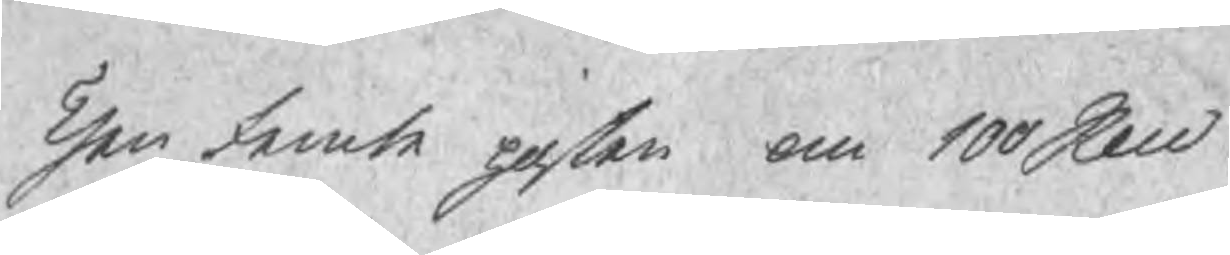Then femte posten om 100 Sknd
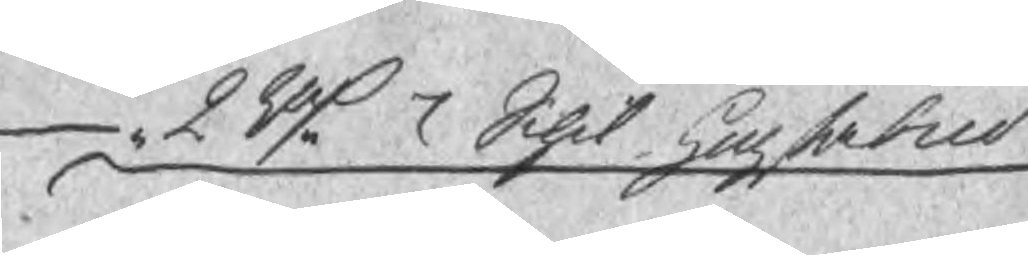2 Rd 7 Schil. högstabud
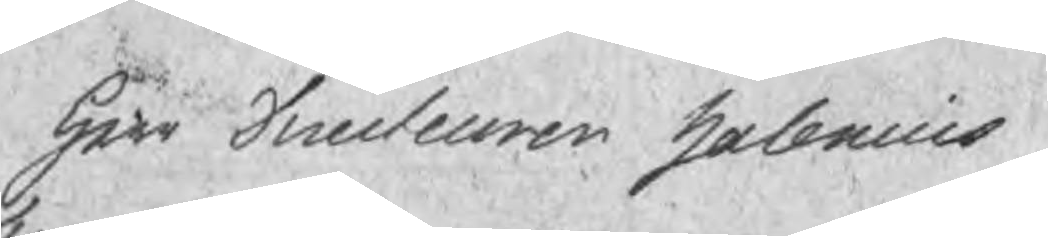Herr Directeuren Halenius
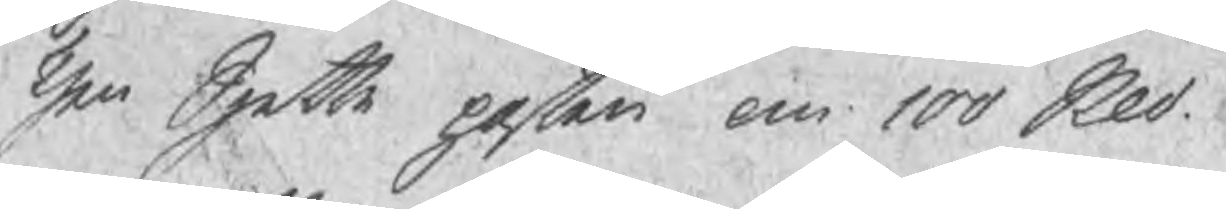Then Sjette posten om 100 Skd
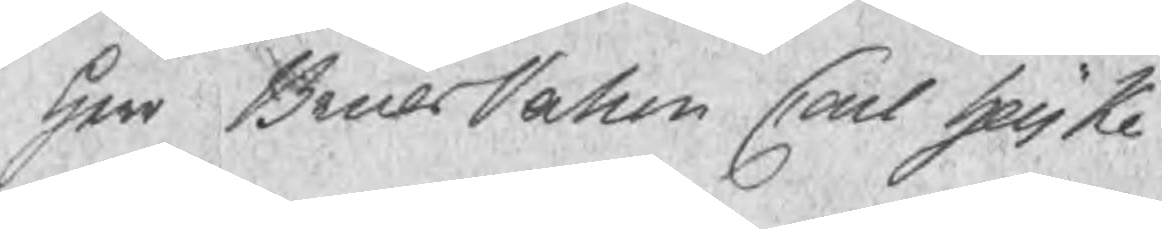Herr BruksPatron Carl Heijke
